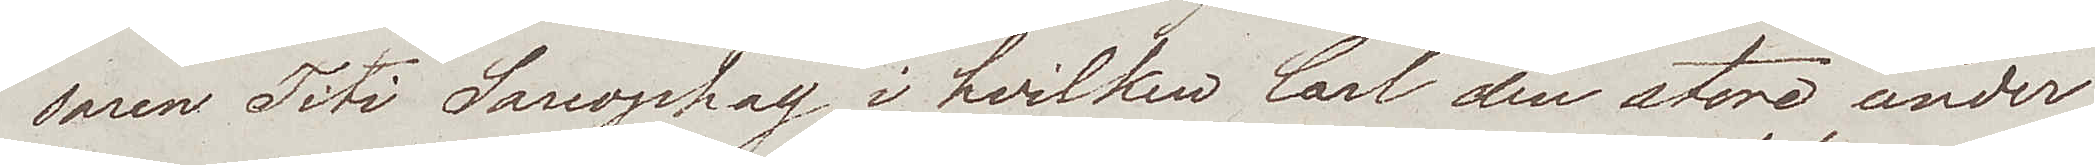saren Titi Sacrophag, i hvilken Carl den store under
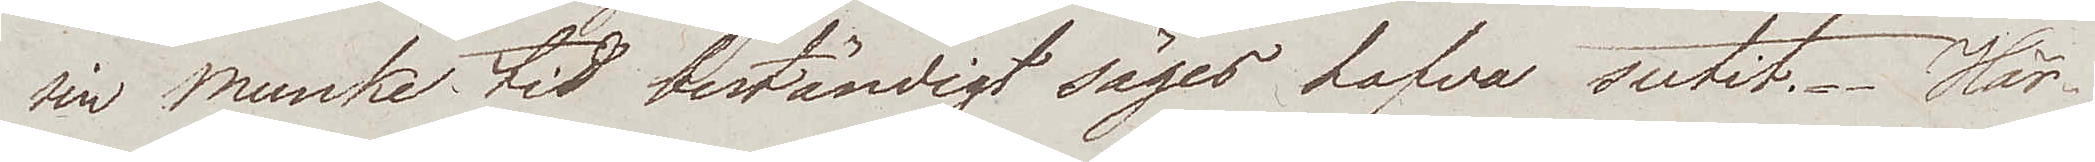sin Munke tid beständigt säges hafva sutit. Här¬
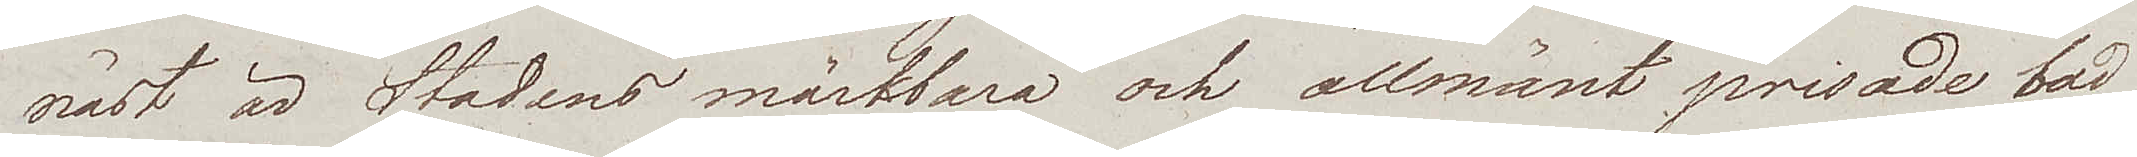näst är Stadens märkbara och allmänt prisade bad
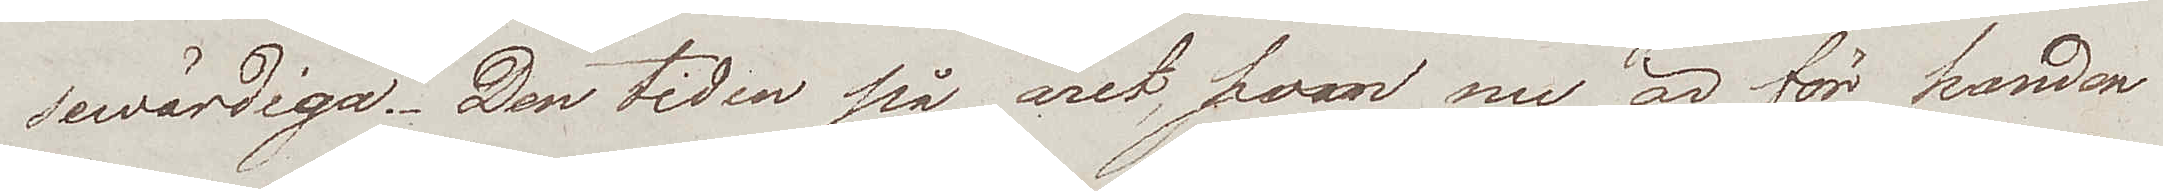sewärdiga. Den tiden på året, som nu är för handen
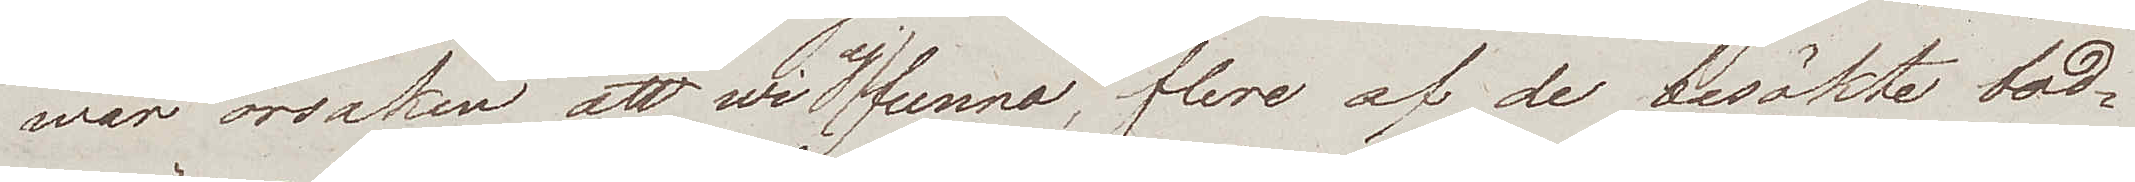war orsaken att wi ej funno, flere af de besökte bad¬
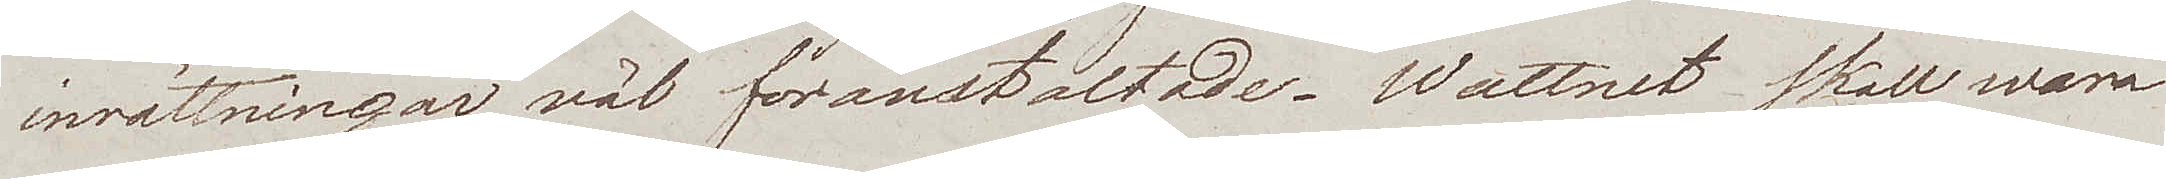inrättningar väl föranstaltade. Wattnet skall wara
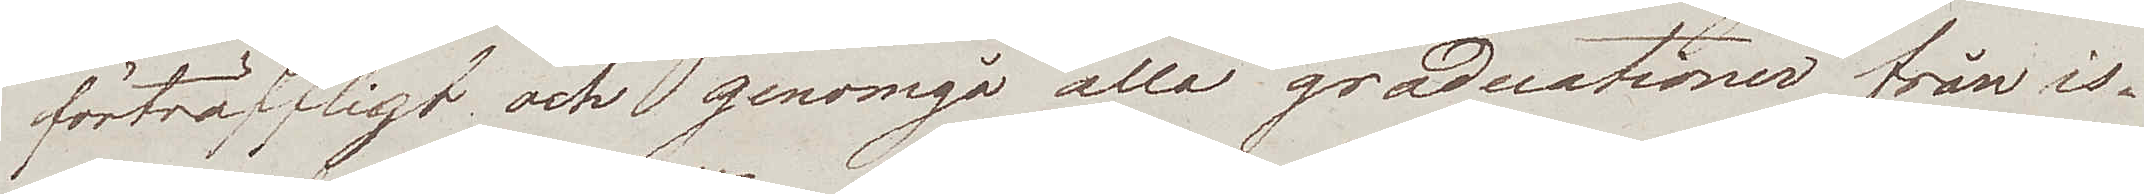förträffligt och genomgå alla graderationer från is¬
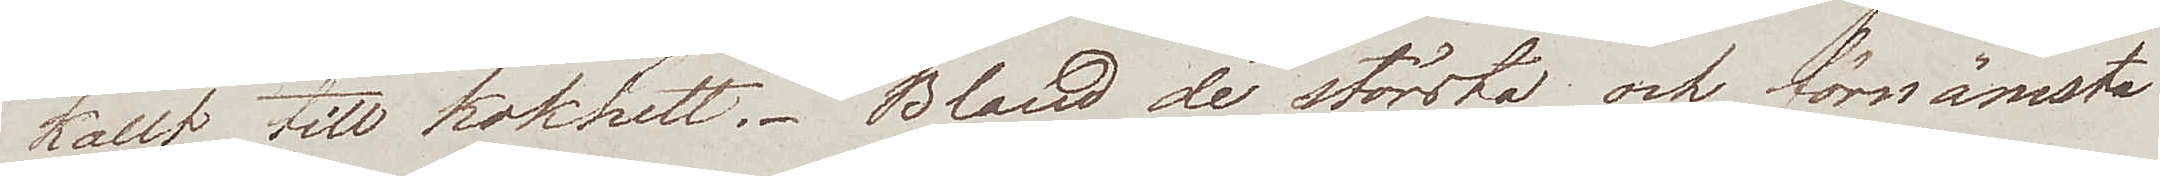kallt till kokhett. Bland de största och förnämsta
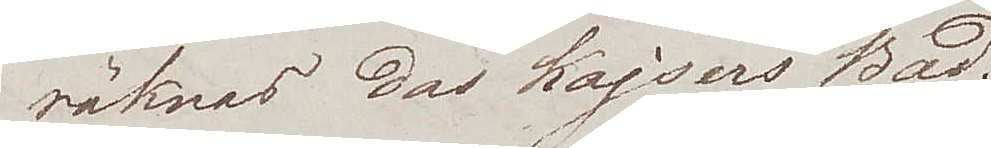räknas das Kajsers Bad.
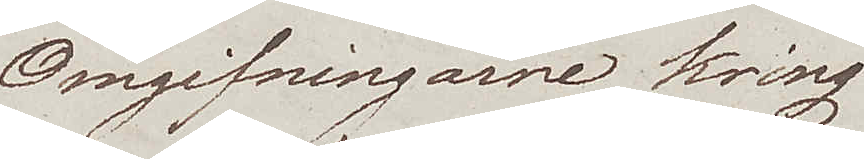Omgifningarne kring
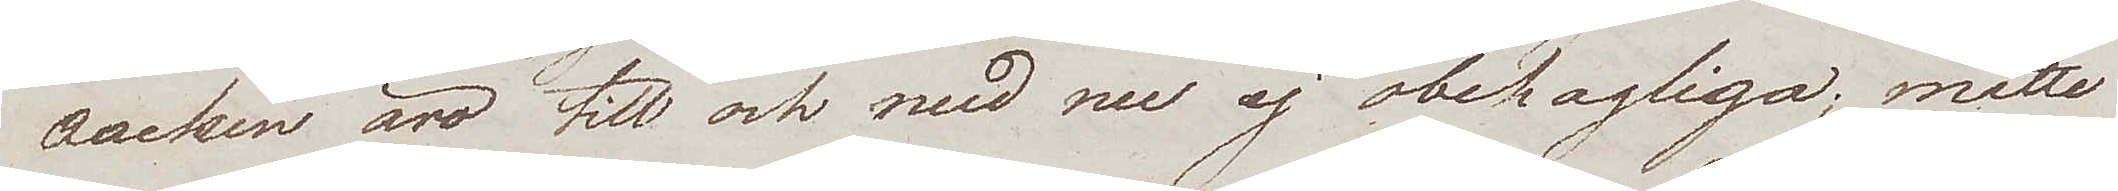Aachen äro till och med nu ej obehagliga; måtte
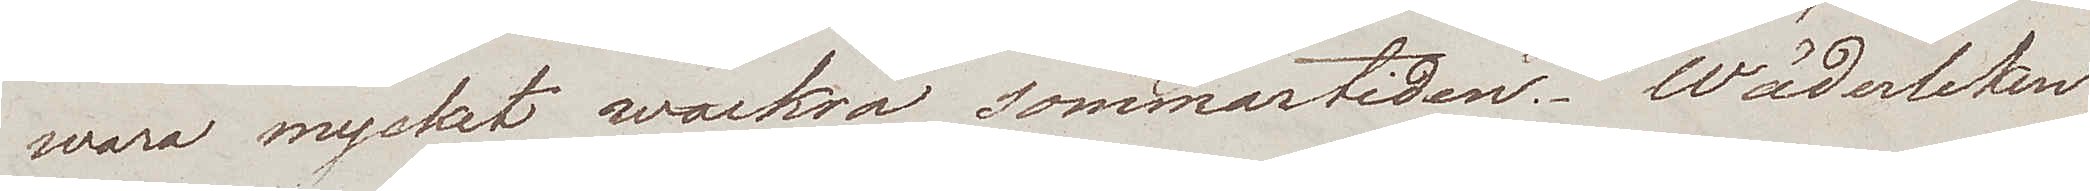wara mycket wackra sommartiden. Wäderleken
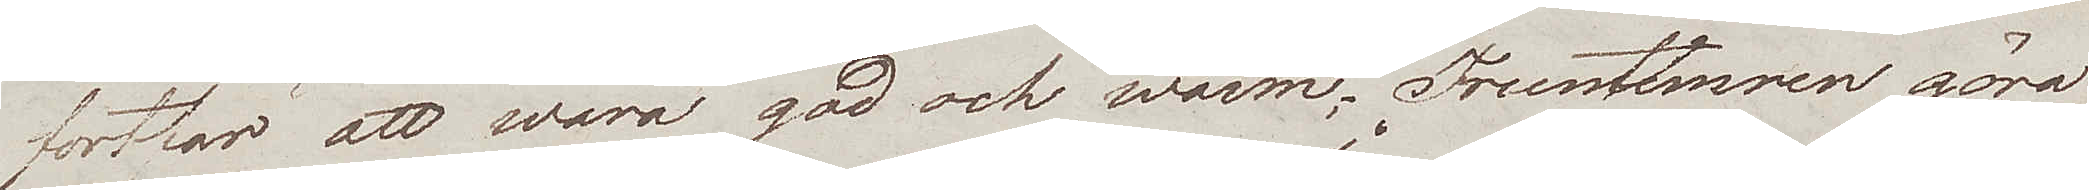fortfar att wara god och warm. Fruntimren göra
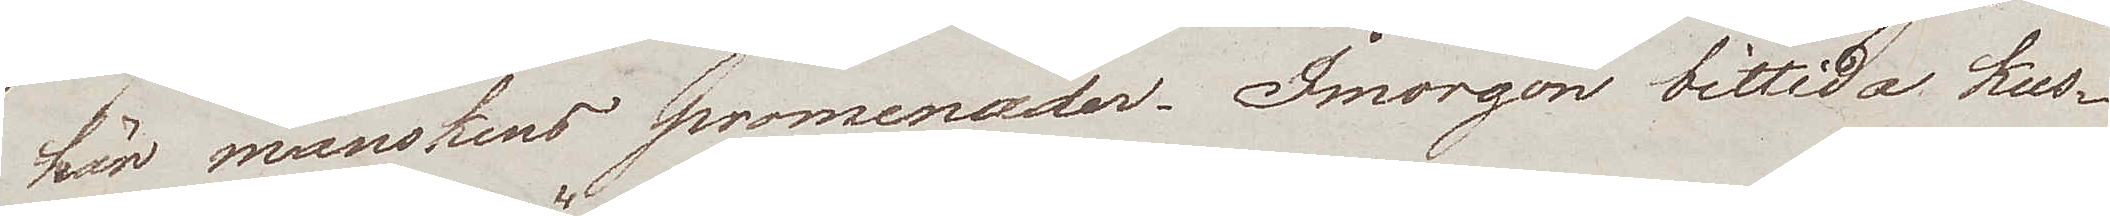här månskens promenader. Imorgon bittida kus¬
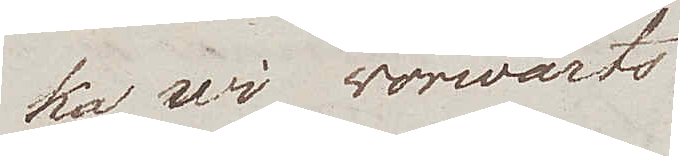ka wi norvärts.
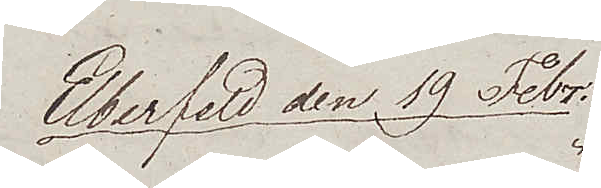Elberfeld den 19 Febr.
